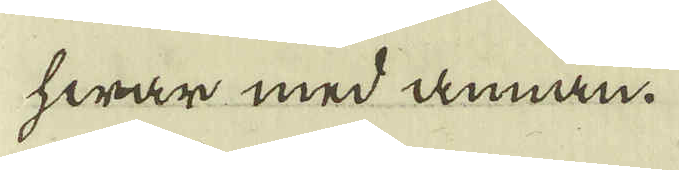hwar med annan.
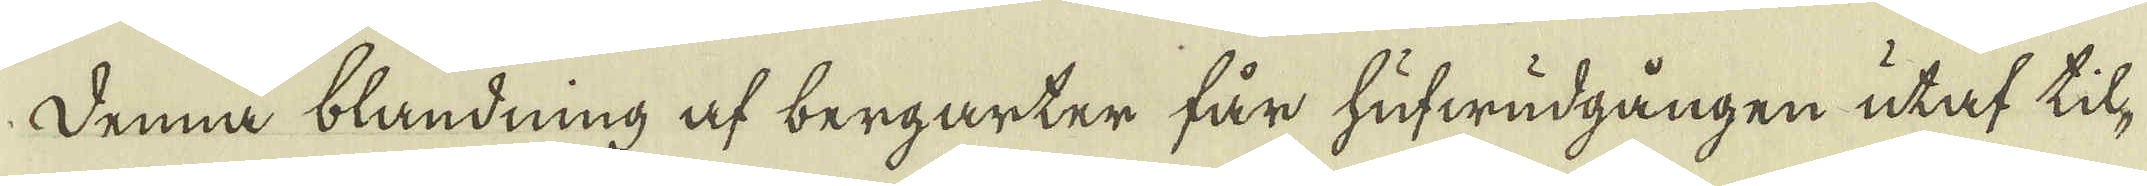Denna blandning af bergarter får hufwudgången utaf til-
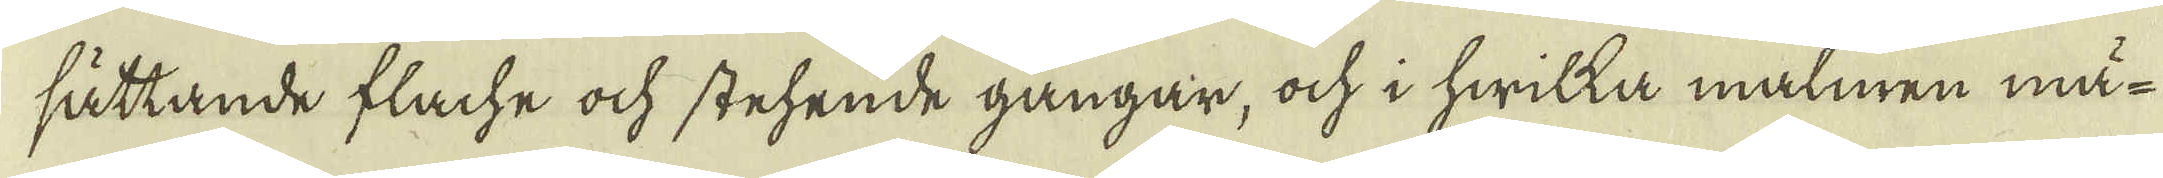sättande flache ock stehende gångar, och i hwilka malmen mä-
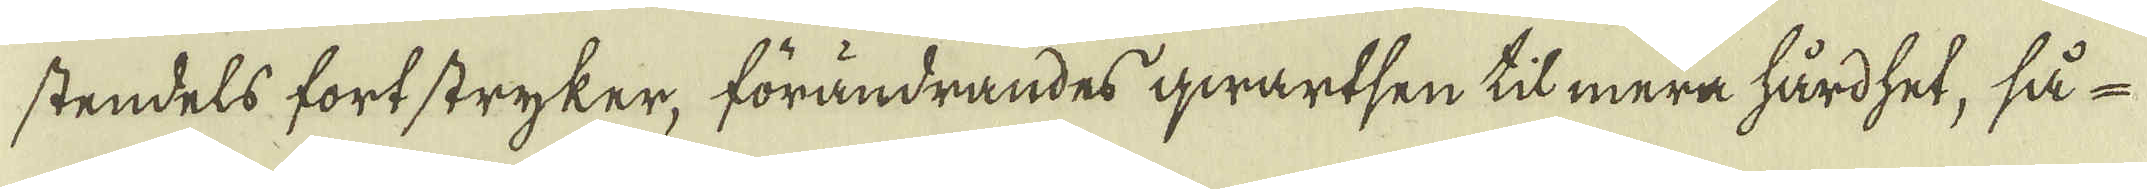stendels fortstryker, förändrandes qwartsen til mera hårdhet, så
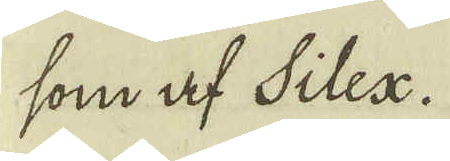som af Silex.
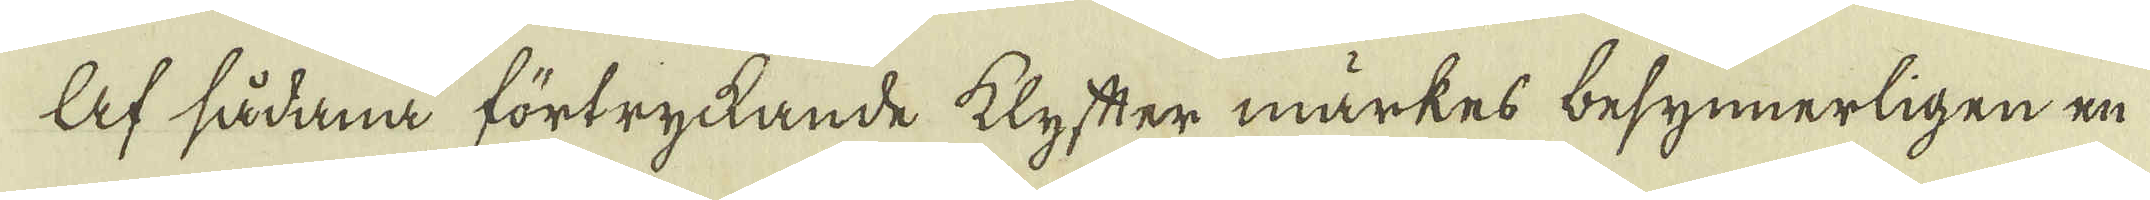Af sådana förtryckande klyfter märkes besynnerligen en
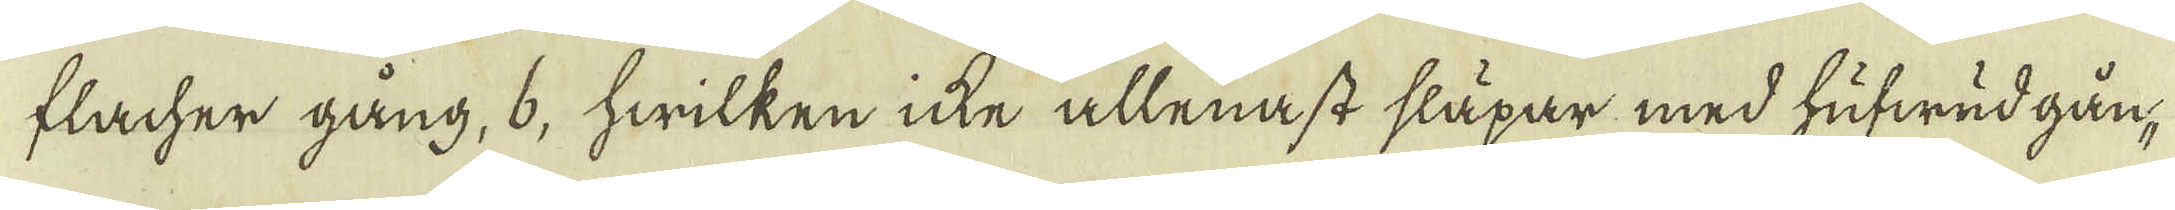flacher gång, 6, hwilken icke allenast släpar med hufwud gån-
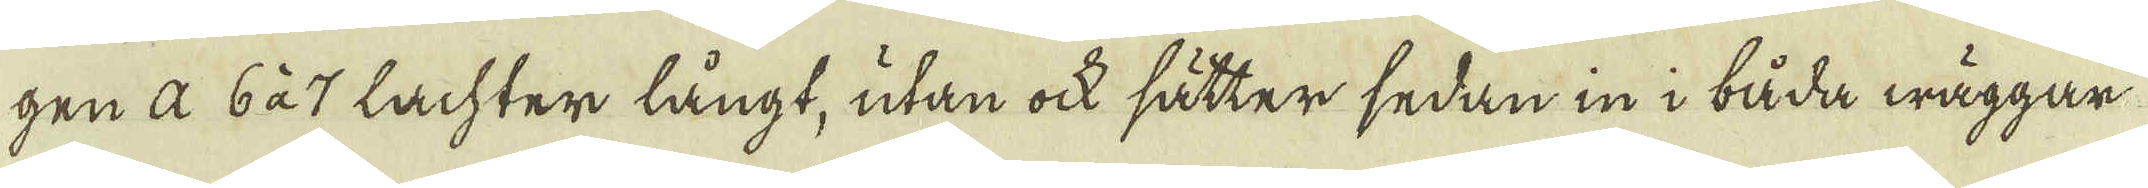gen a 6 à 7 Lachter långt, utan ock sätter sedan in i båda wäggar
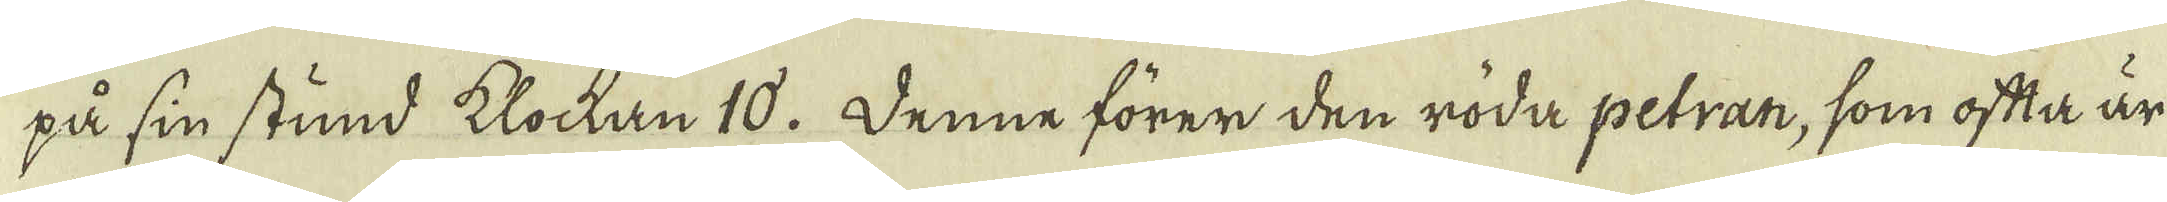på sin stund klockan 10. Denne förer den röda petran, som ofta är
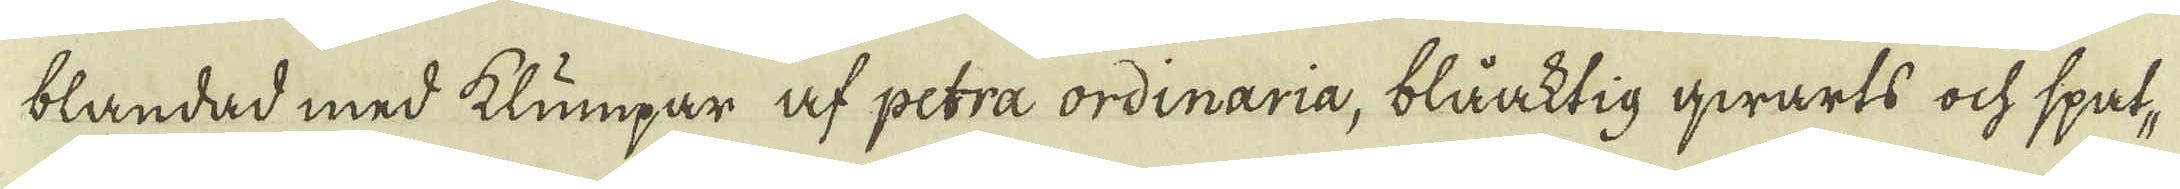blandad med klumpar af petra ordinaria, blåaktig qwarts ock spat,
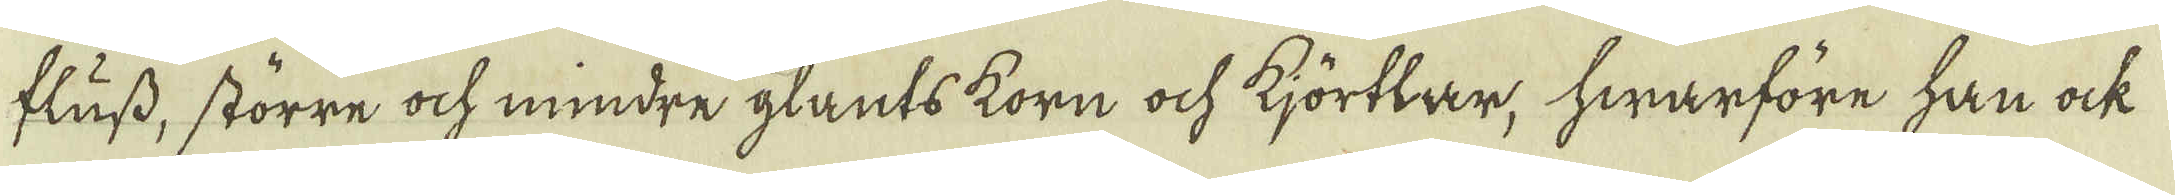fluss, större ock mindre glants korn ock kjörtlar, hwarföre han ock
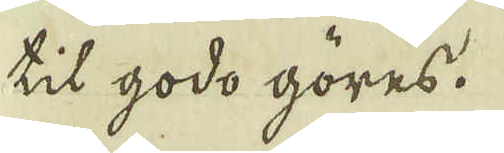til godo göres.
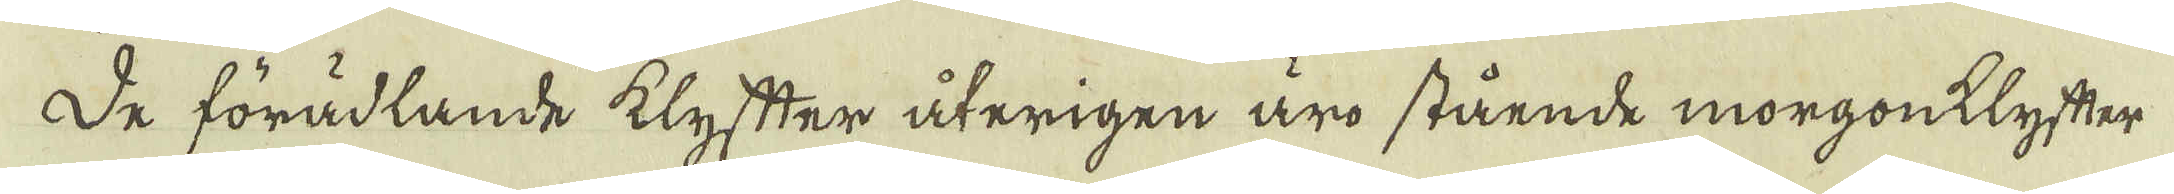De förädlande klyfter återigen äro stående morgonklyfter
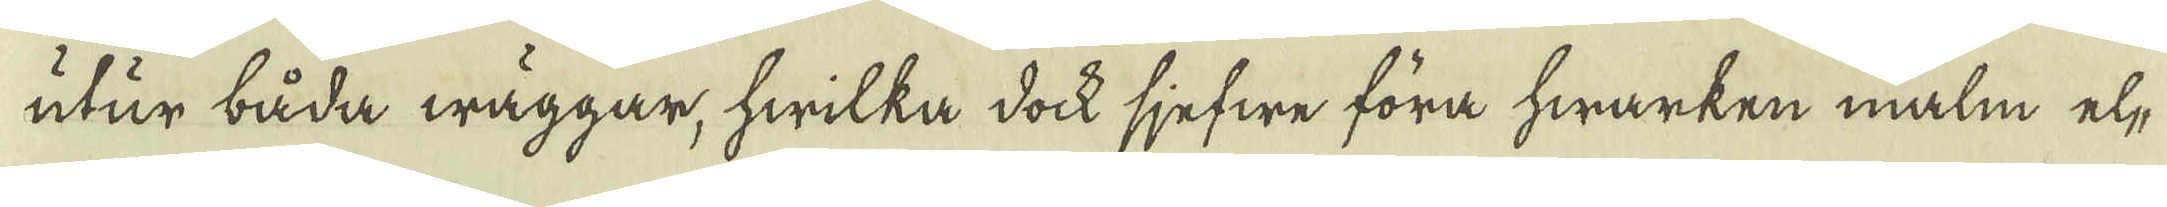utur båda wäggar, hwilka dock sjefwe föra hwarken malm el-
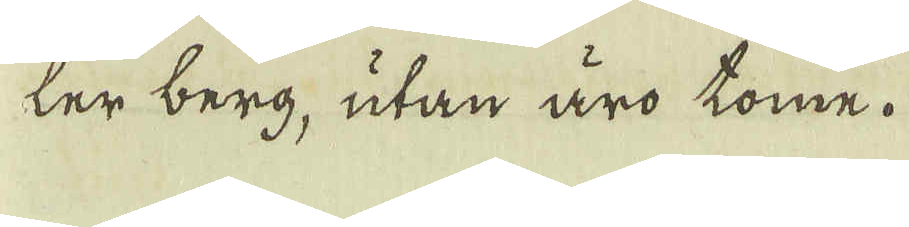ler berg, utan äro tome.
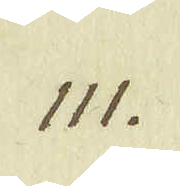111.
